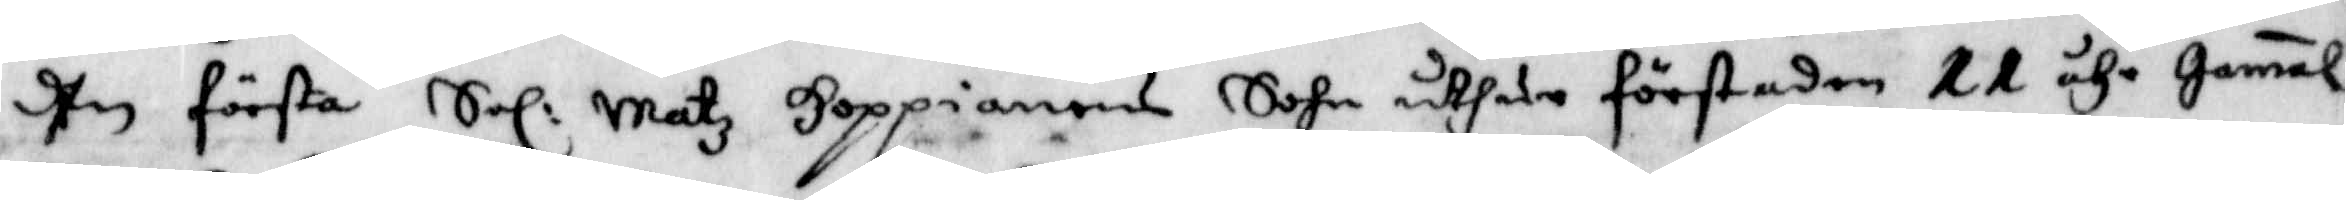Dhen första Sal: Matz Hoppianens Sohm utsade först eden 11 åhr gamal
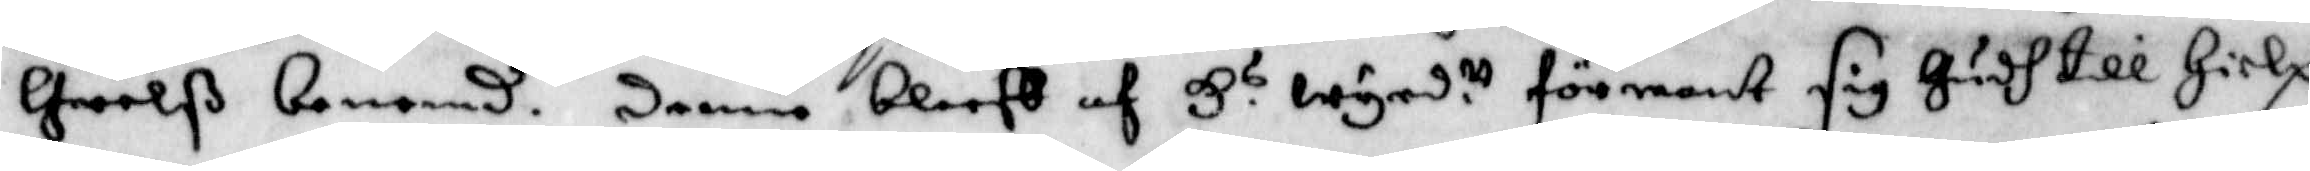Greelß benemd. denne bleef af H.s wyrd.tt förmant sig Gush till Hielp
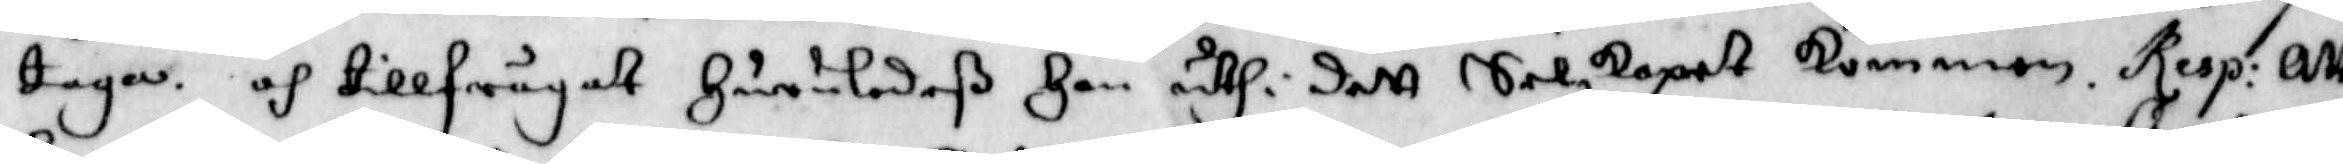taga. och tillfrågat Huruledeß Han uthi dett Selskapet kommen. Resp: Att
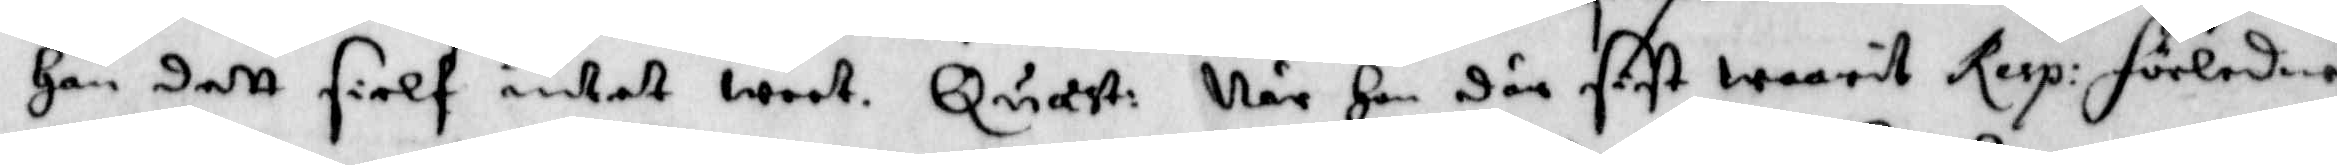Han dett sielf intet weet. Quast: När Han där sist warit Resp: förledne
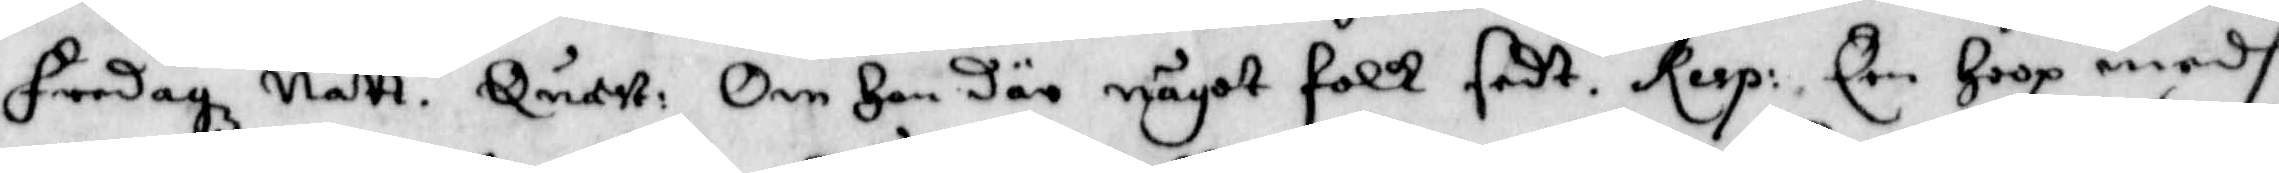Fredagz natt. Ouast: Om Han där något folk sedt. Resp: Een hoop medh
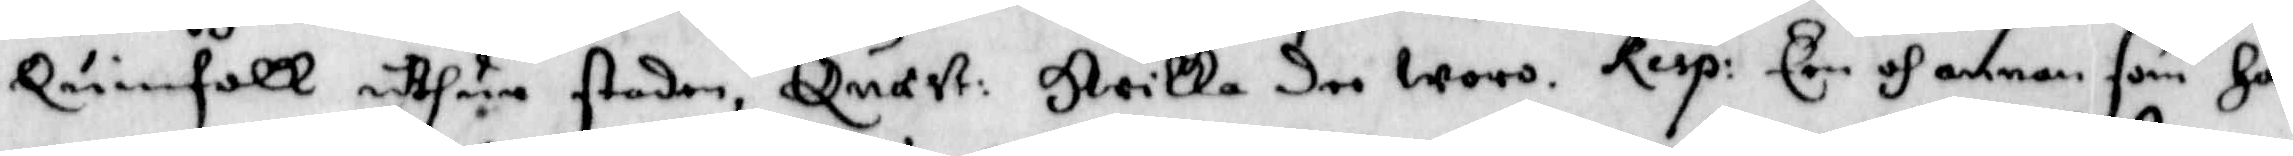Quinfolk uthur staden, Quast: Hwilka dee woro. Resp: Een och annan som han
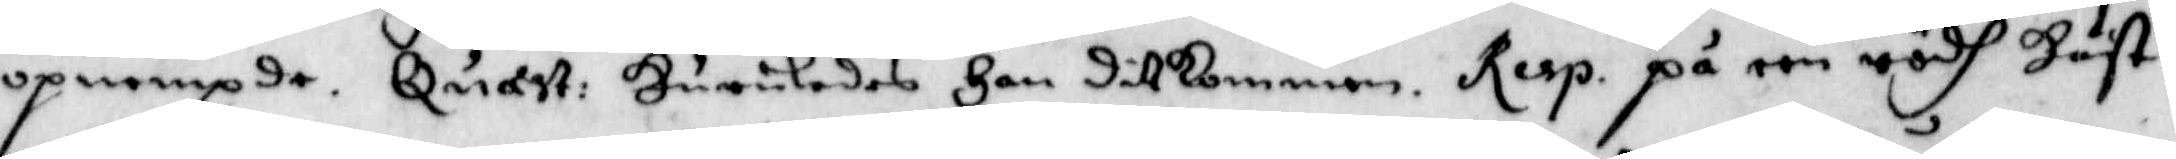opnempde. Quast: Huruledes han ditkommen. Resp: på een rödh häst.
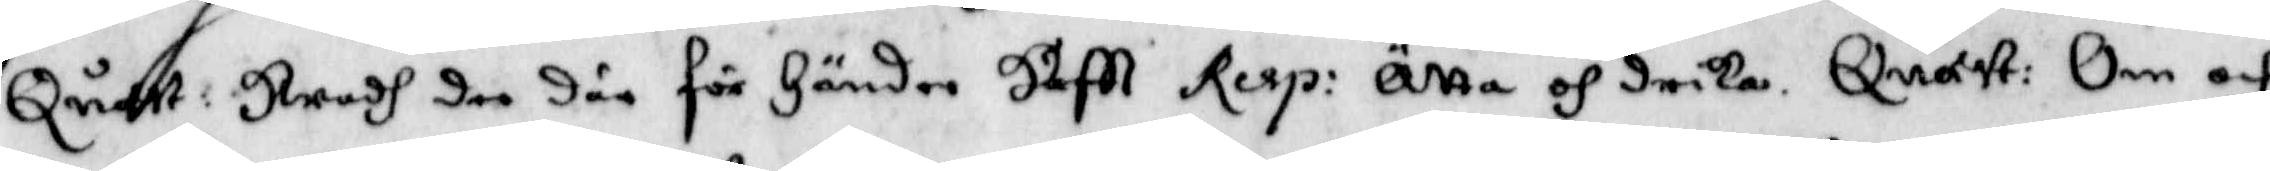Quast: Hwadh dee där för Händer Haftt. Resp: Ätta och dricka. Quast: Om och
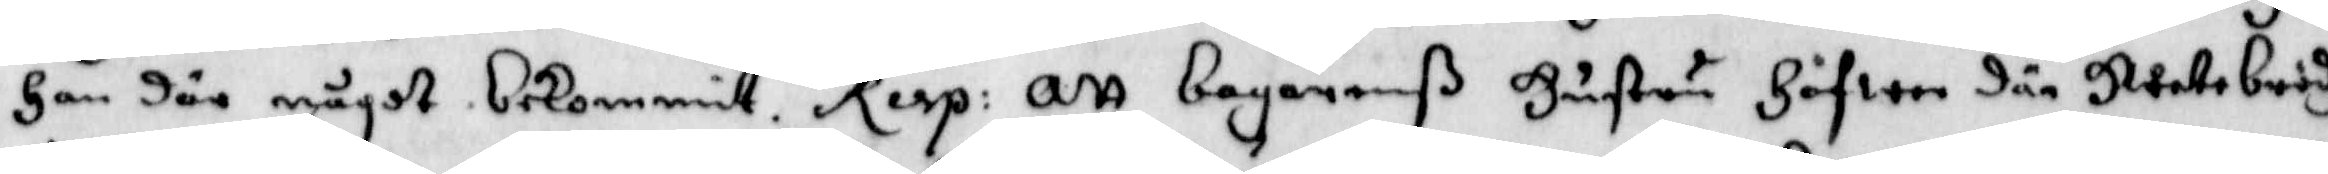Han där något bekommit. Resp: Att borgarenß Hustru Hafwer där Hwetebrödh
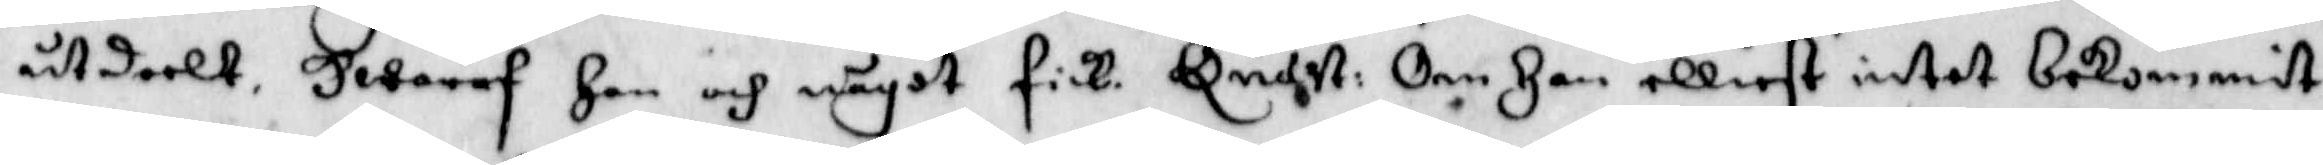utdeelt. Hwaraf han och något fick. Quast: Om Han elliest intet bekommit
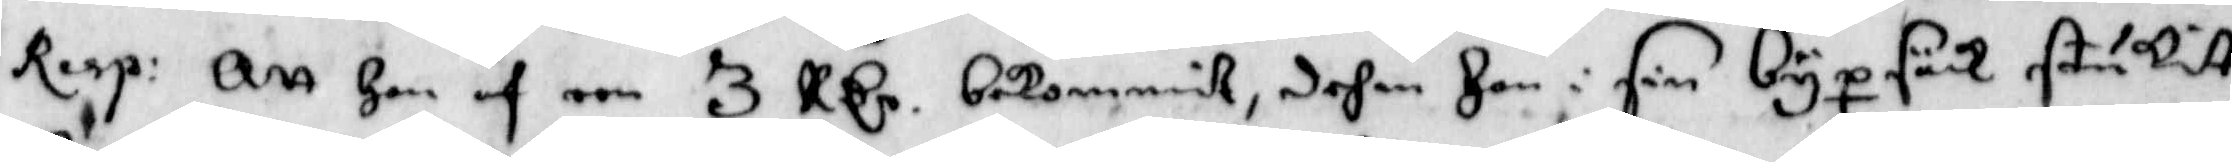Resp: Att Han af een 3 R Cr bekommit, dehm Han i sin byxsäck stukit
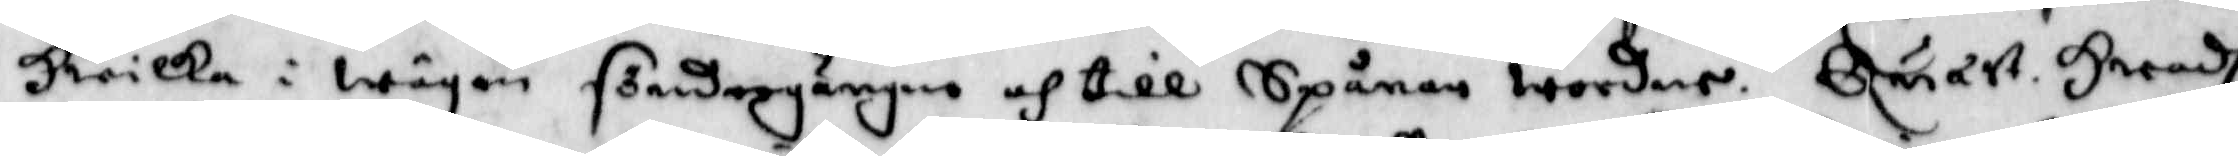Hwilka i wägen söndergångne och till Spånar wordne. Quast. Hwadh
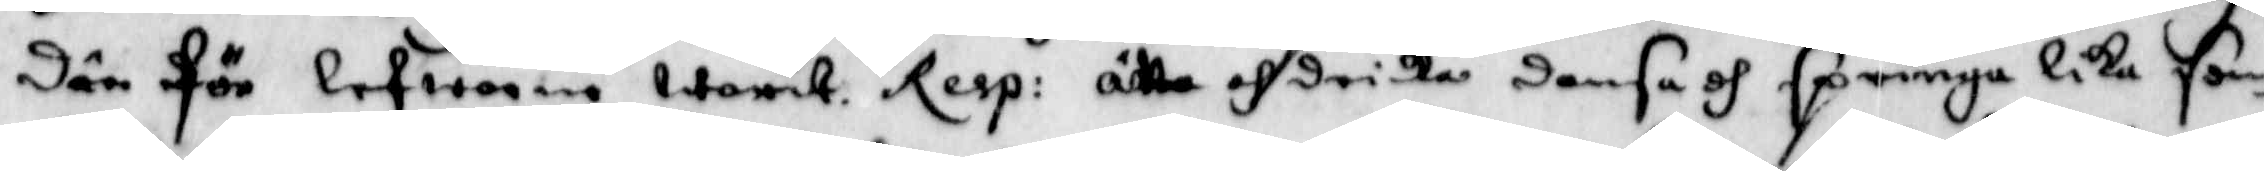där för Lefwerne warit. Resp: Ätta och dricka dansa och springa lika som
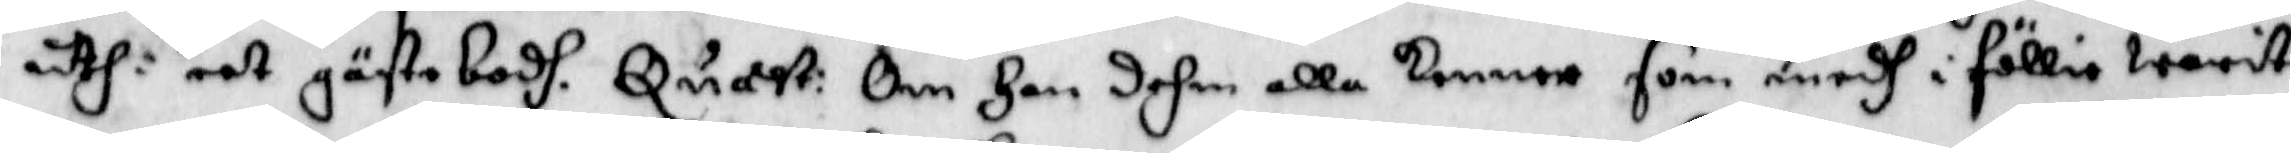uthi eet gästabodh. Quast: Om Han dehm alla kommer som medh i föllie warit
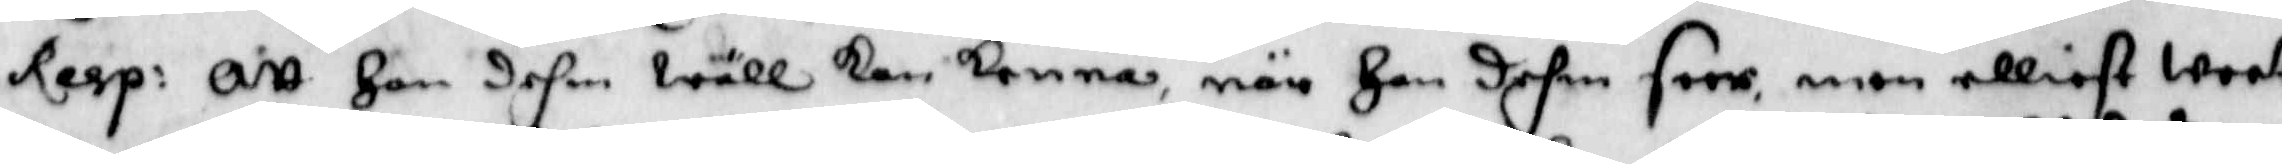Resp: Att Han dehm wäll kan kenna, när Han dehm seer, men elliest weet
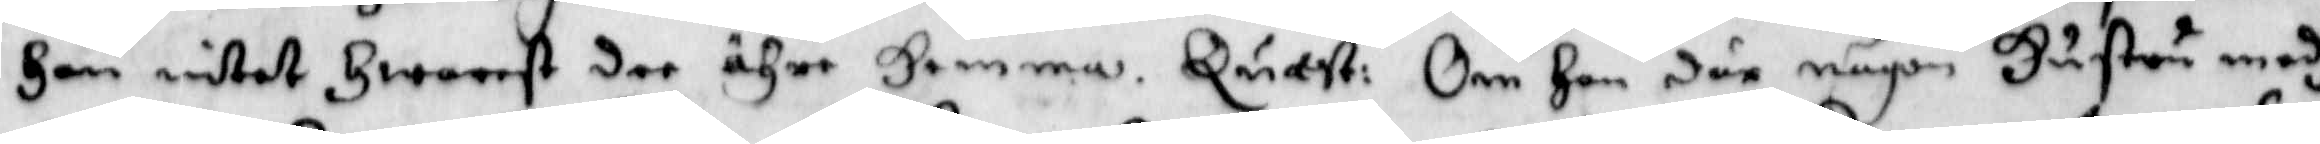Han intet Hwarest dee ähre Hemma. Quast: Om Han där någon Hustru medh 
